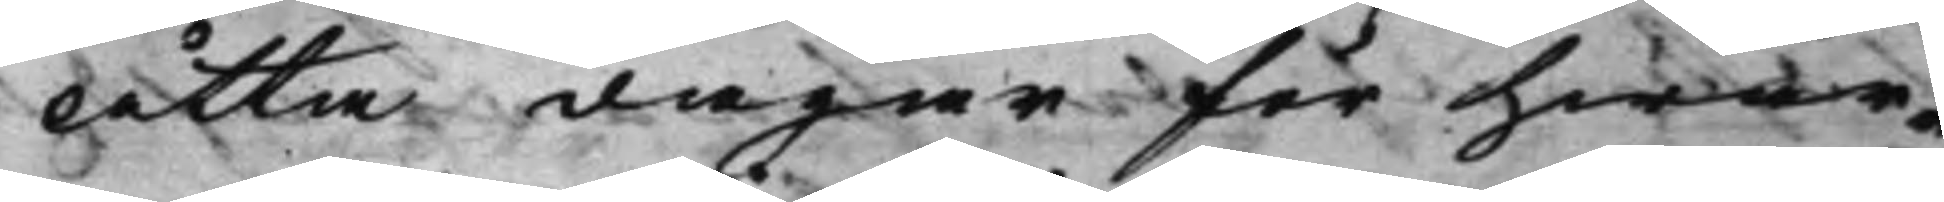Åtta dagar för hwar¬
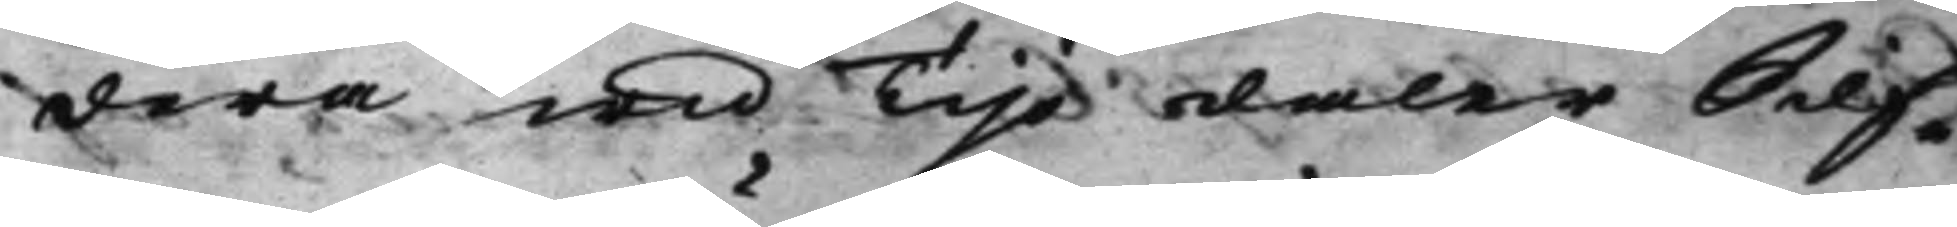dera wid Tijo daler Silf¬
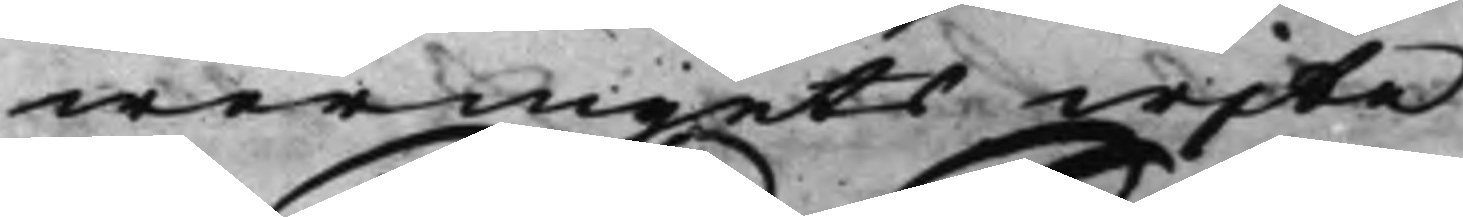wermynts wite.
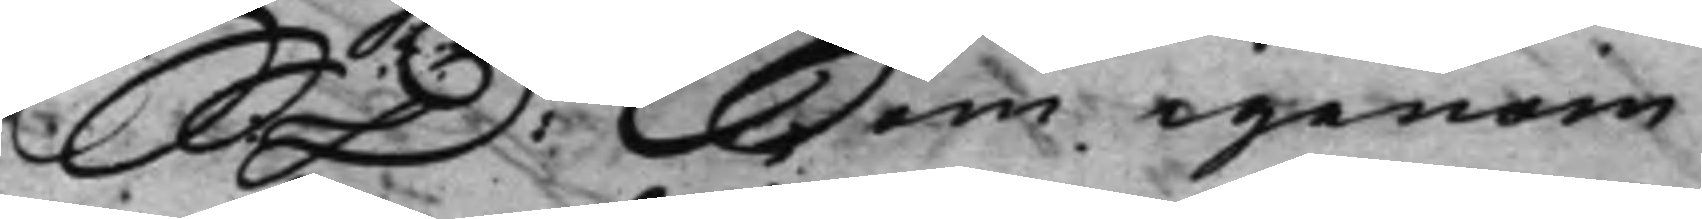S: D: Som igenom 
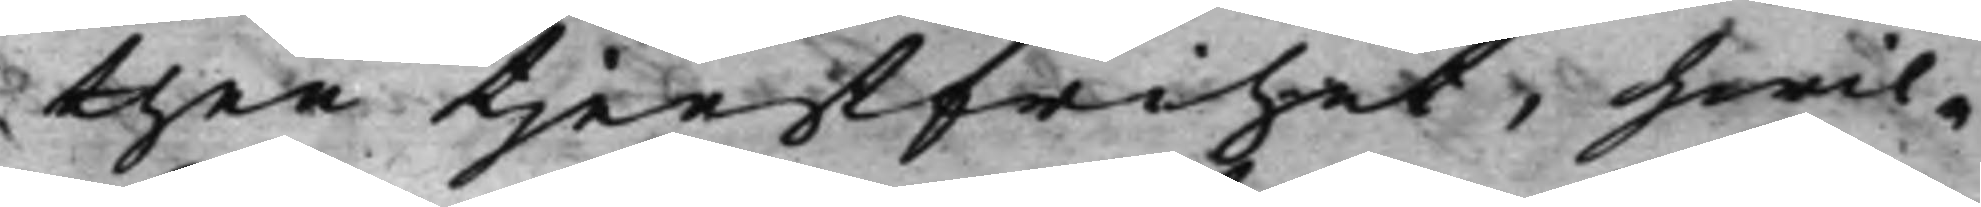then tjenstfrihet, hwil¬
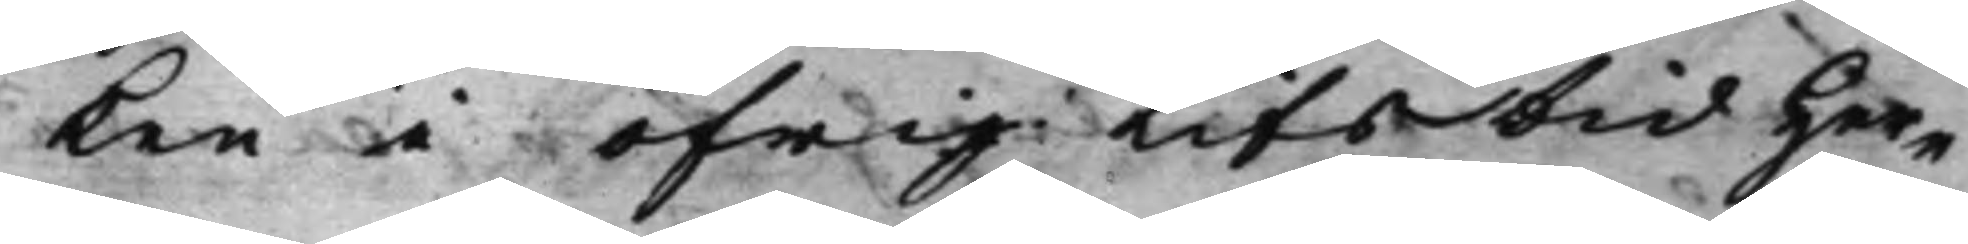ken i öfrig Lifstid Her¬
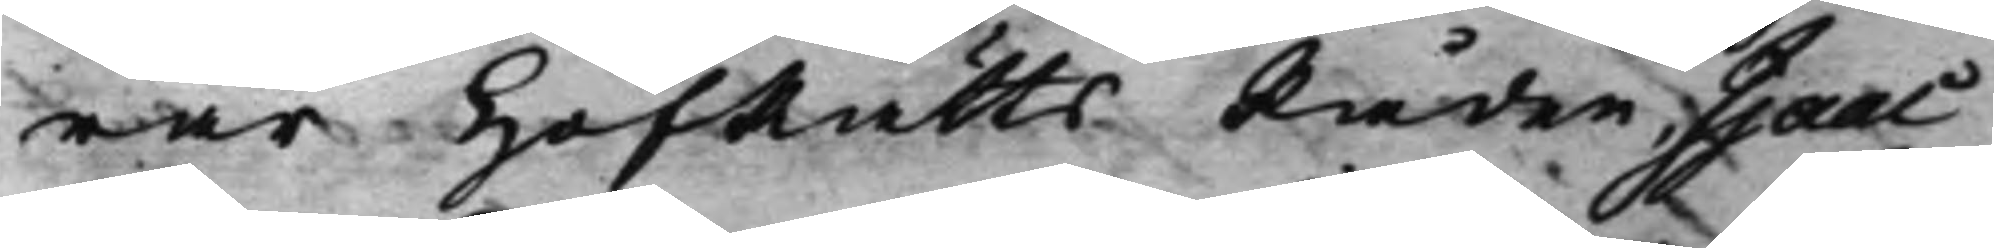rar HofRättsRåden, Isaac
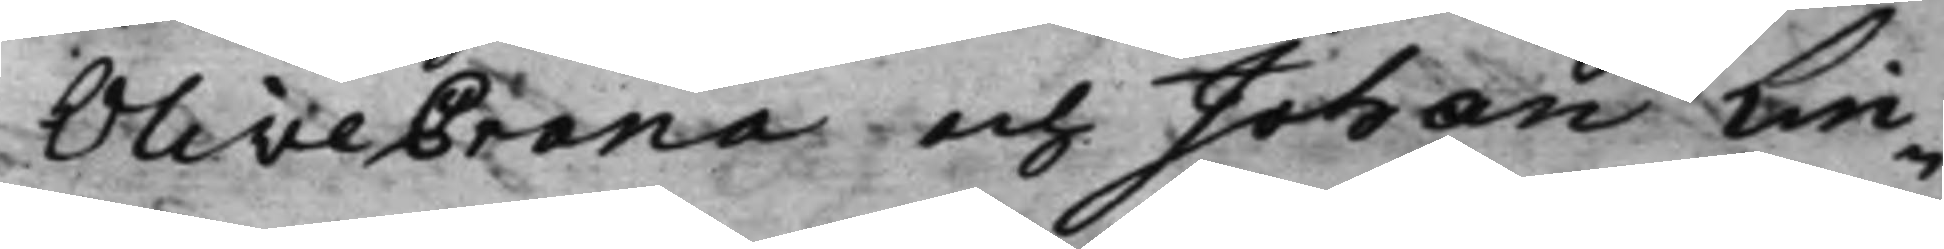OliveCrona och Johan Lin¬
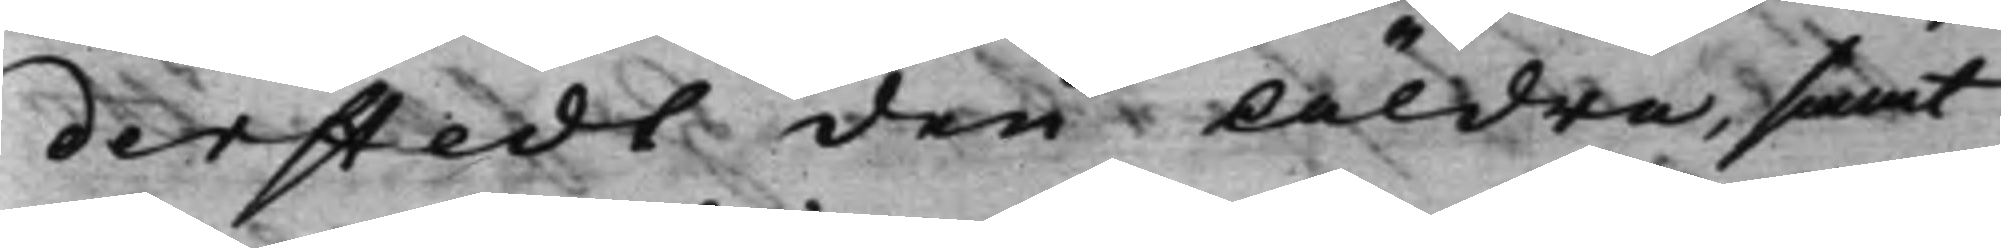derstedt den Äldre samt
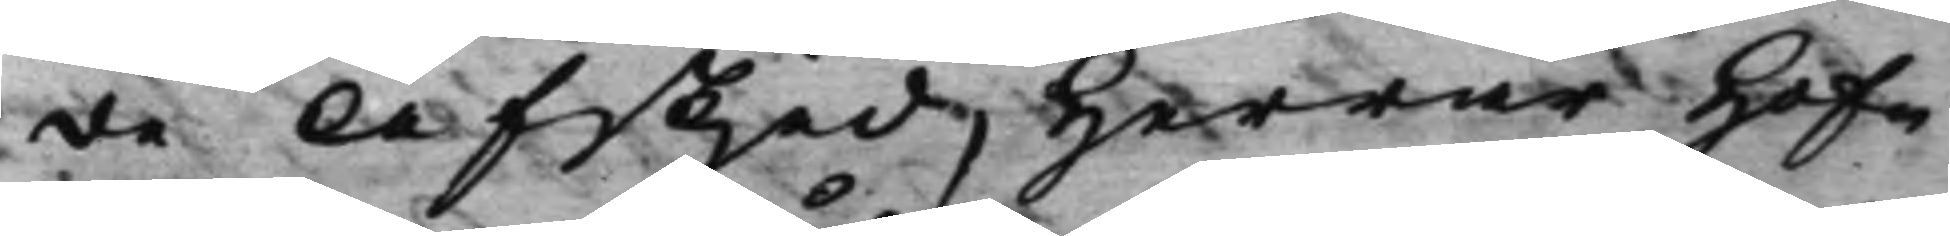de Afskjed, Herrar Hof¬
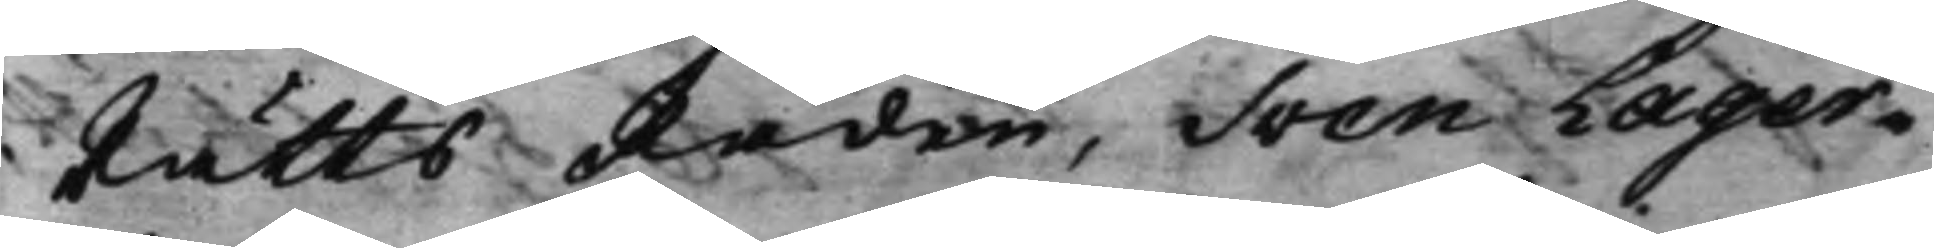RättsRåden, Sven Lager¬
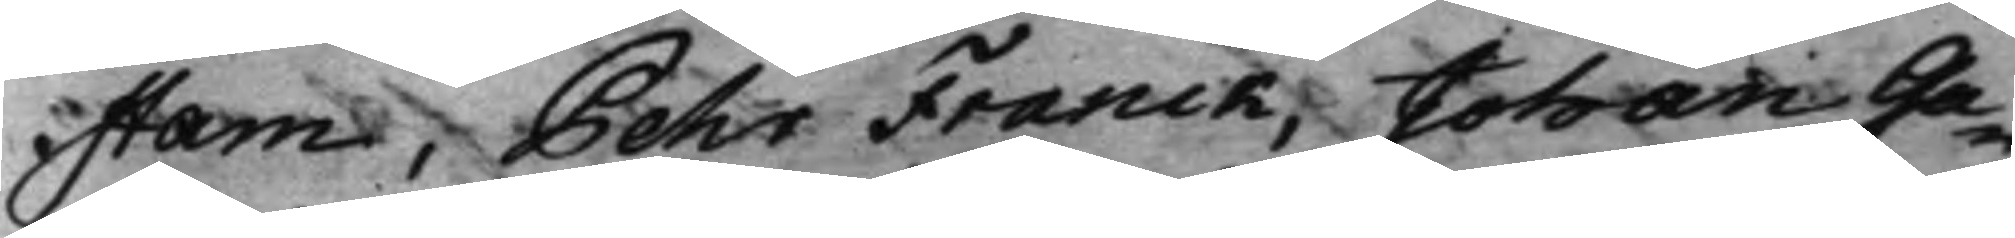stam, Pehr Franck, Johan Ga¬
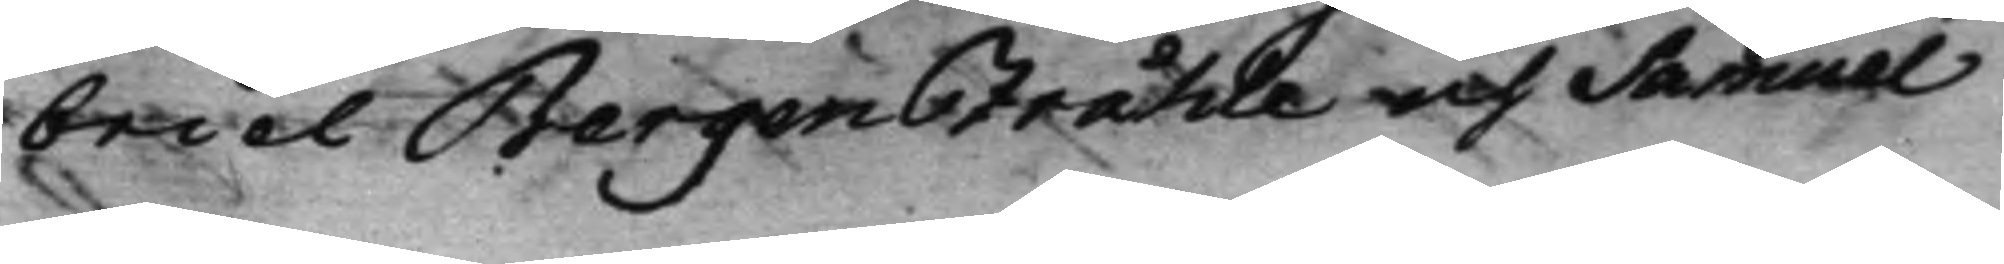briel Bergentråhle och Samuel
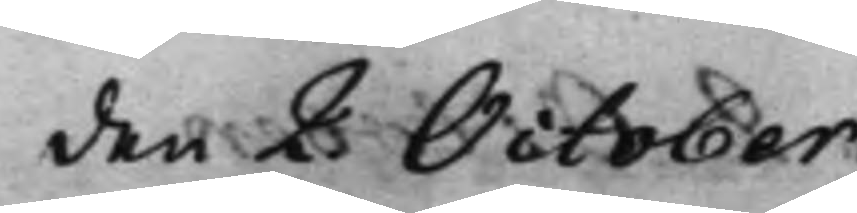den 2 October.
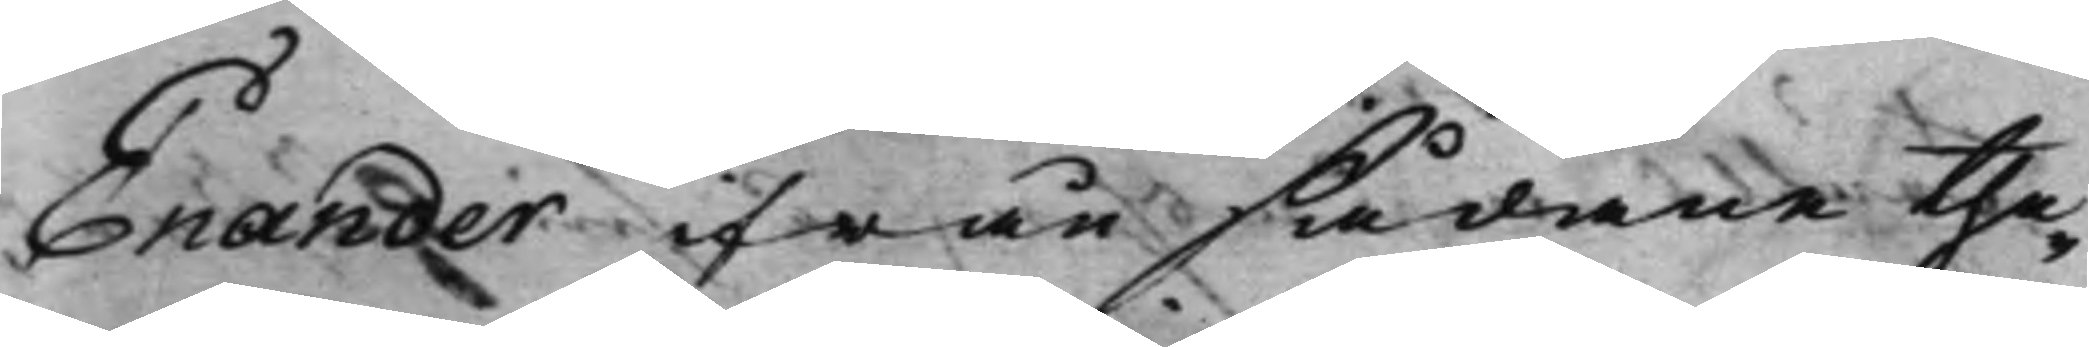Enander ifrån sådane the¬
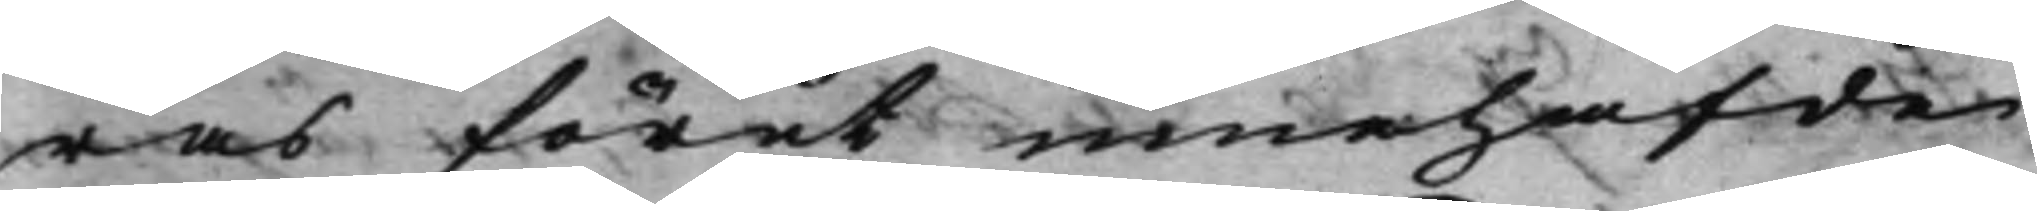ras förut innehafde
